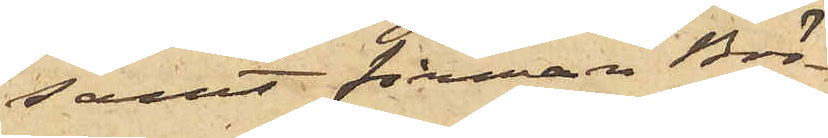samt firman Brö¬
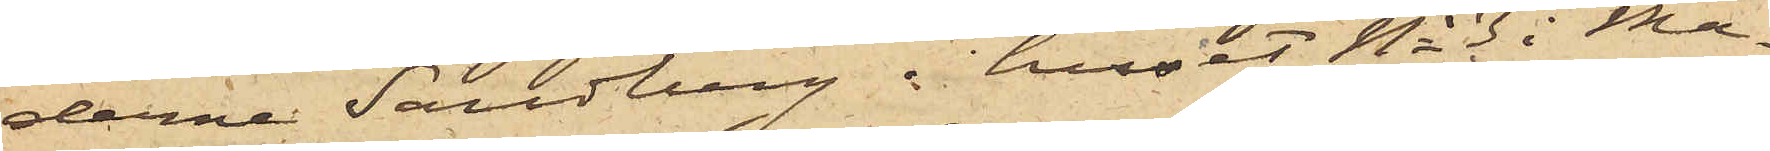derna Sandberg i huset No 3 i Ma¬
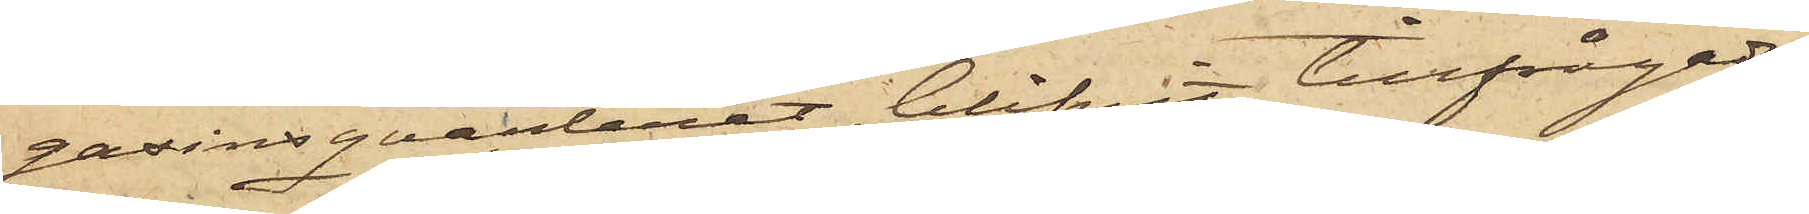gasinsqvarteret, blifvit tillfrågade,
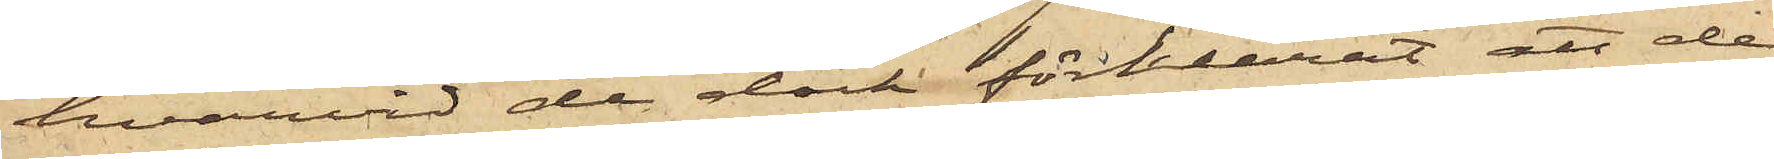hvarvid de dock förklarat att de
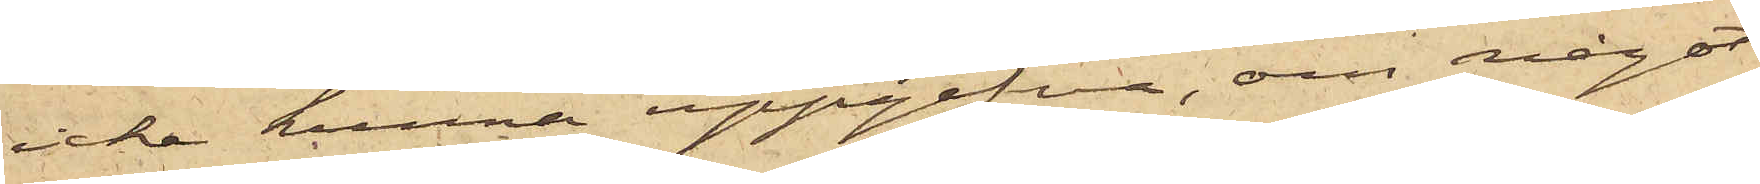icke kunna uppgifva, om något
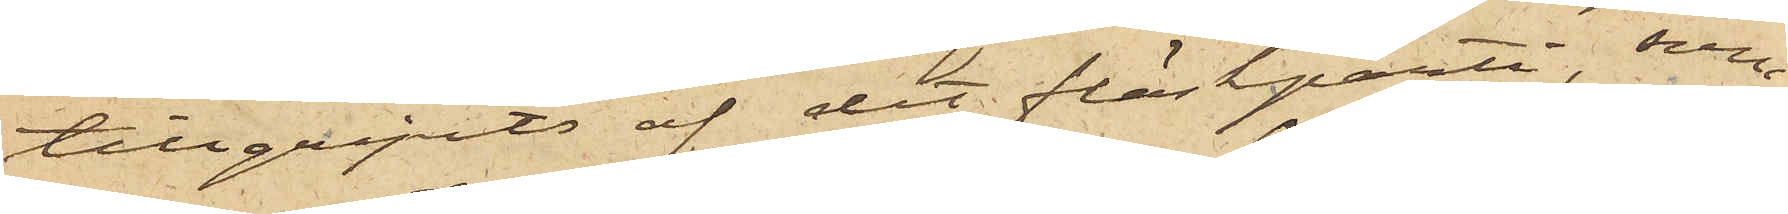tillgripits af det fläskparti, som
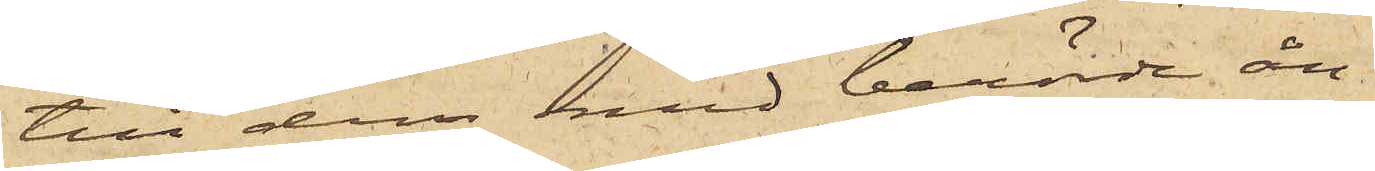till dem med berörde ån¬
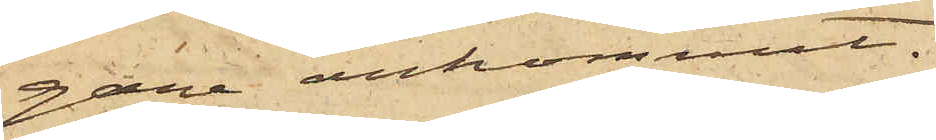gare ankommit.
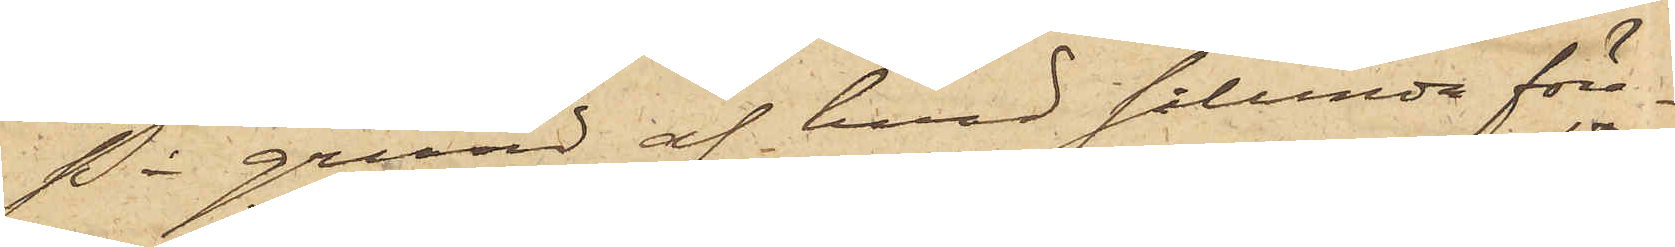På grund af hvad sålunda före¬
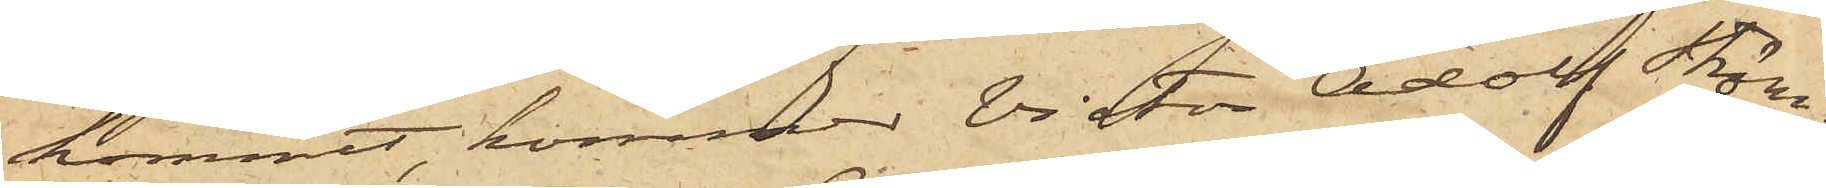kommit, kommer Viktor Adolf Sten¬
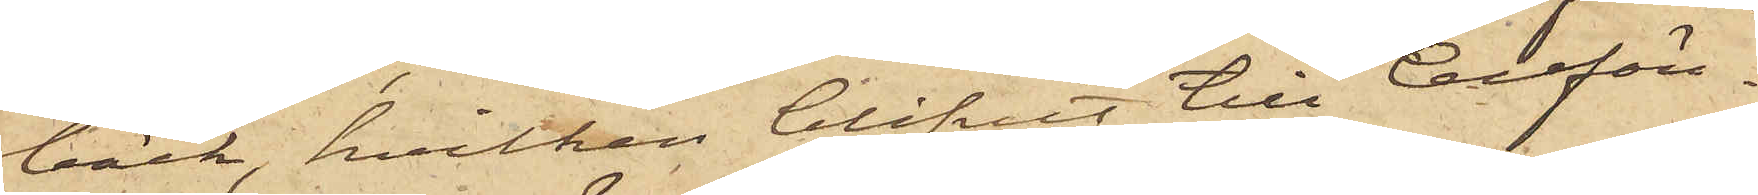bäck, hvilken blifvit till Cellfän¬
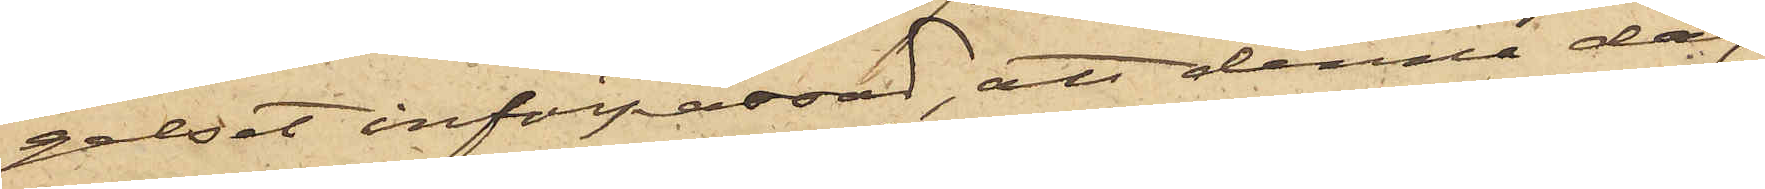gelset införpassad, att denna dag
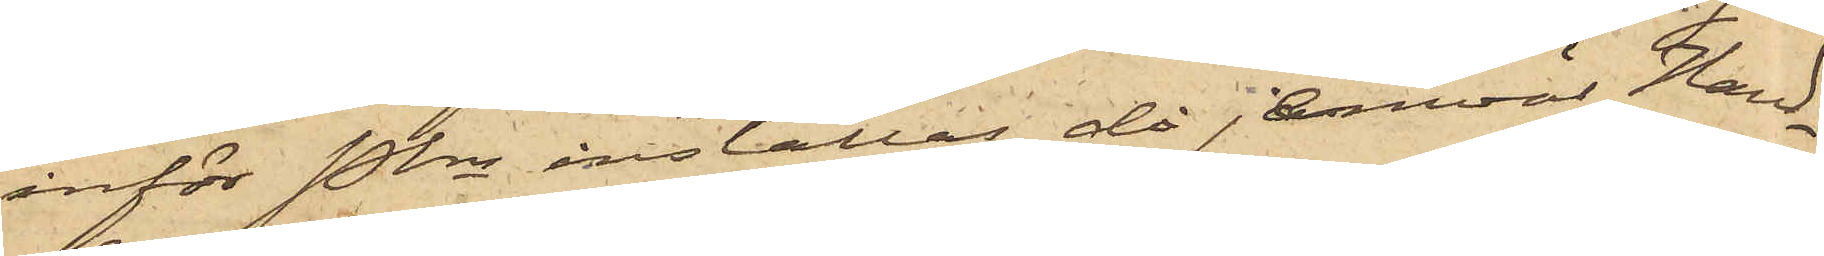inför Pkn inställas, då jemväl Hand¬
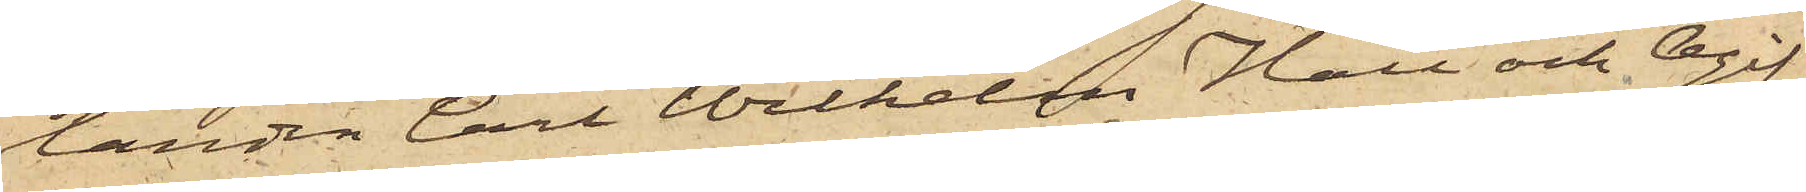landen Carl Wilhelm Hall och Ogif¬
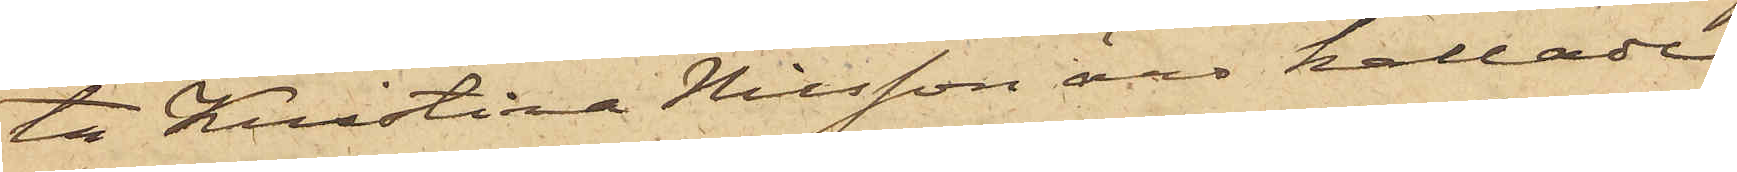ta Kristina Nilsson äro kallade
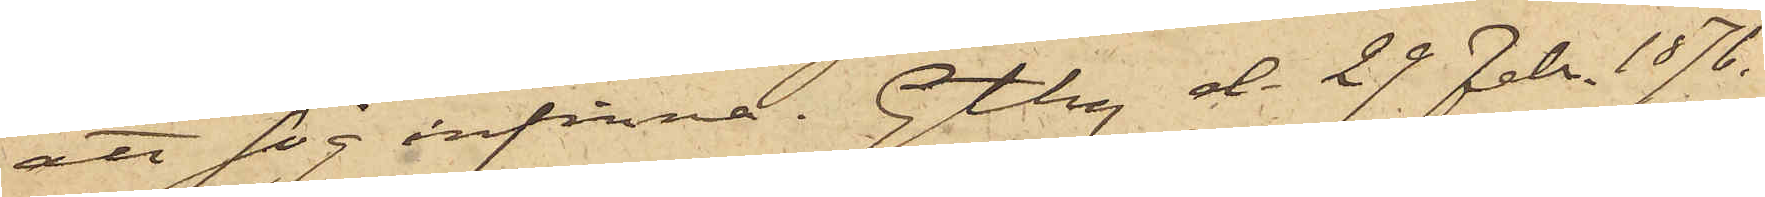att sig infinna. Gtbg d. 29 Febr. 1876.
